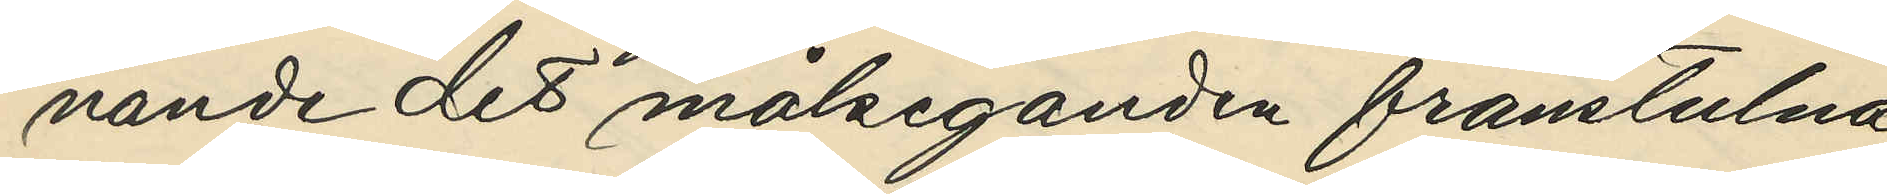nande det målseganden frånstulna
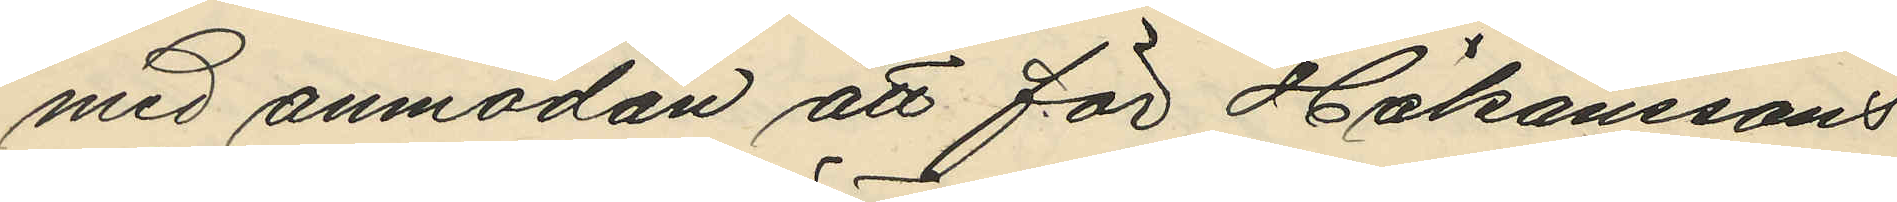med anmodan att för Håkanssons
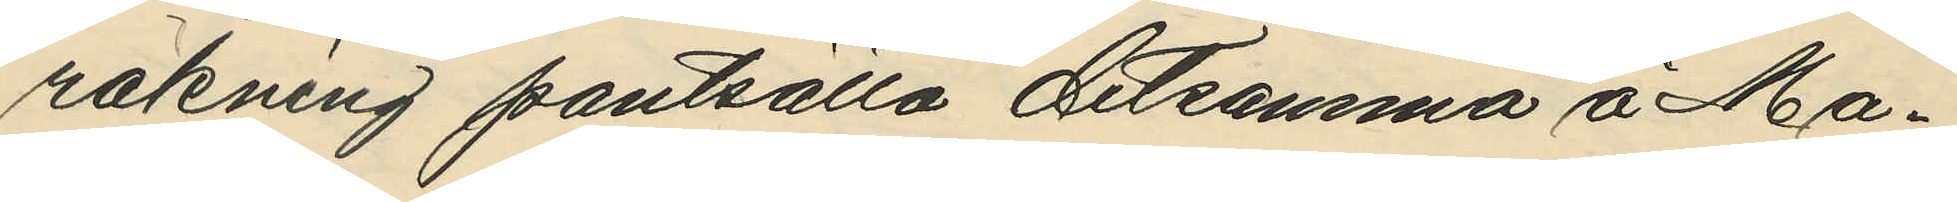räkning pantsätta detsamma å Ma¬
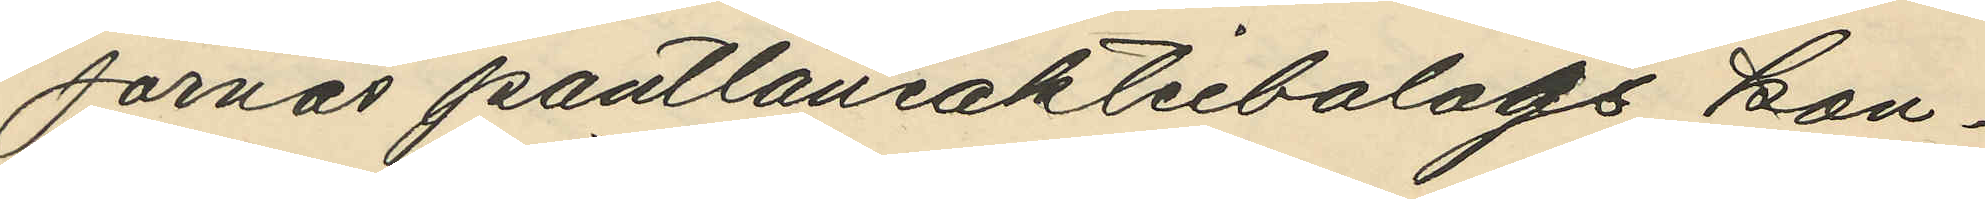jornas pantlåneaktiebolags kon¬
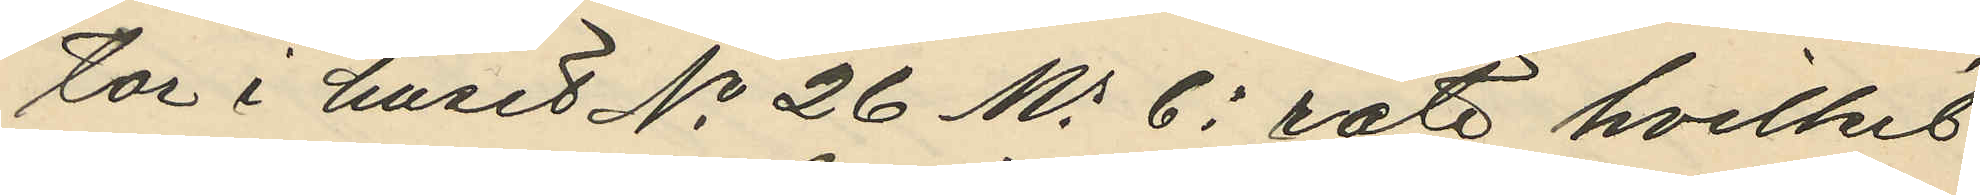tor i huset No 26 Ms 6e rote hvilket
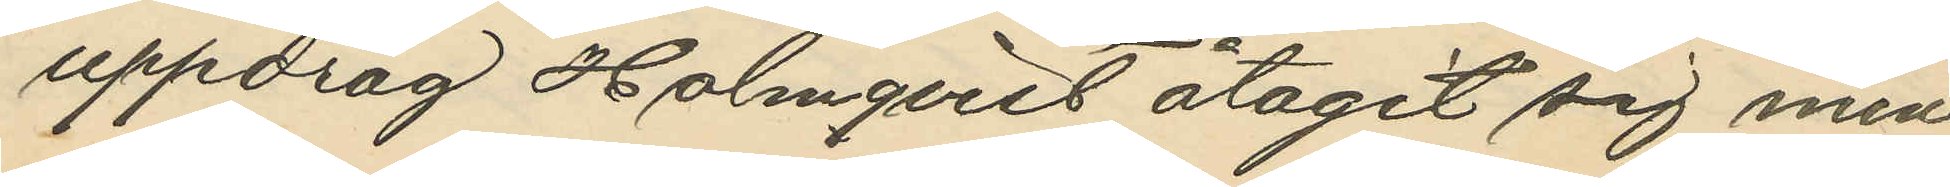uppdrag Holmqvist åtagit sig men
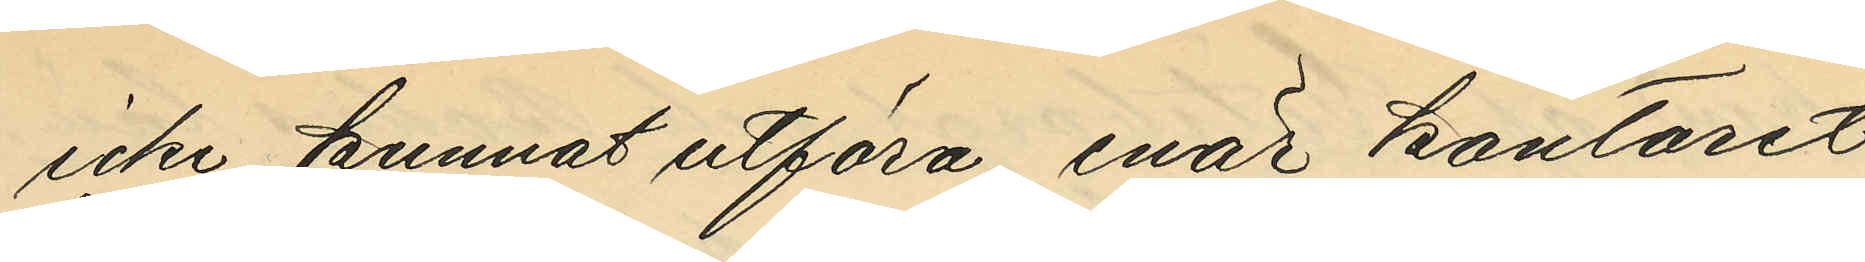icke kunnat utföra, enär kontoret
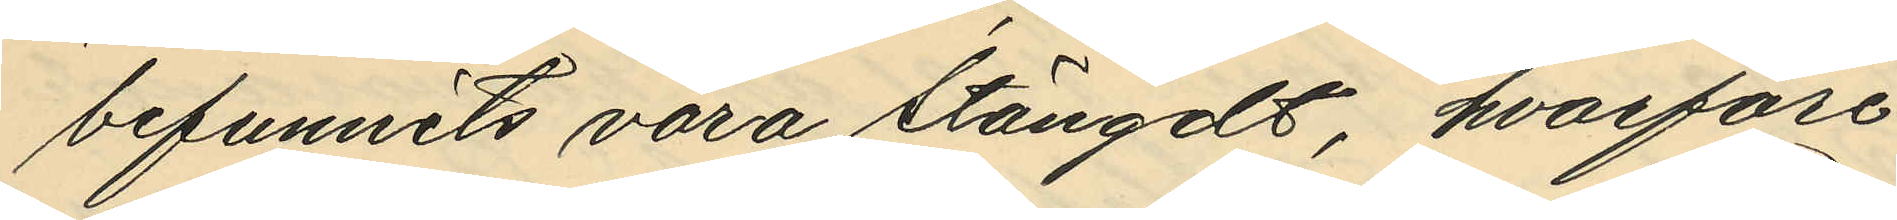befunnits vara stängdt, hvarföre
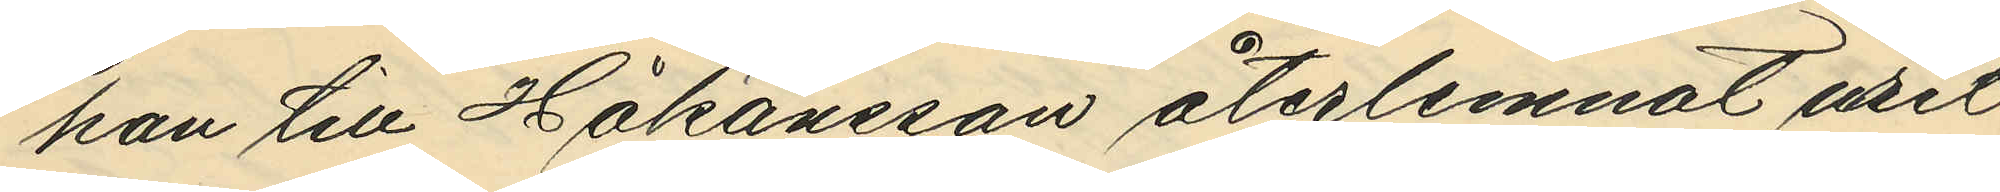han till Håkansson återlemnat uret
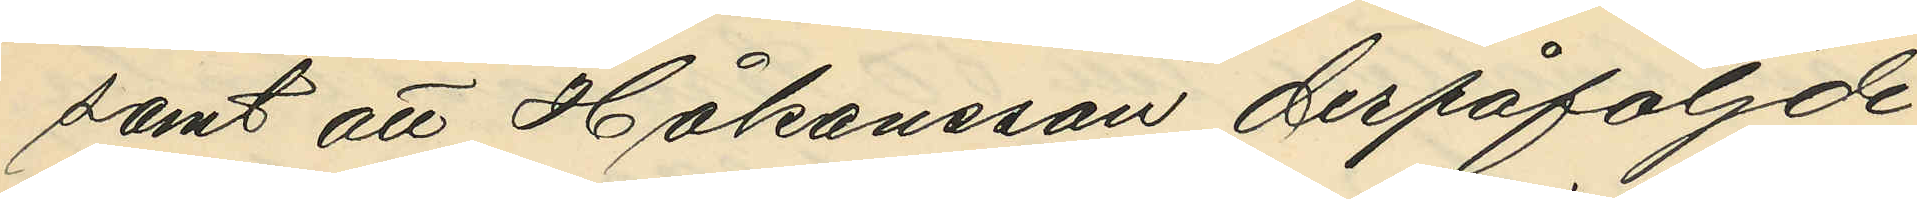samt att Håkansson derpåföljde
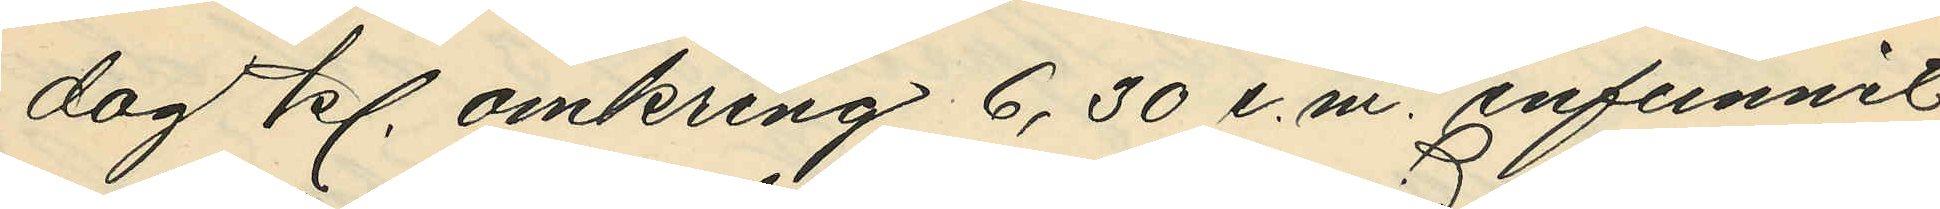dag kl. omkring 6,30 e.m. infunnit
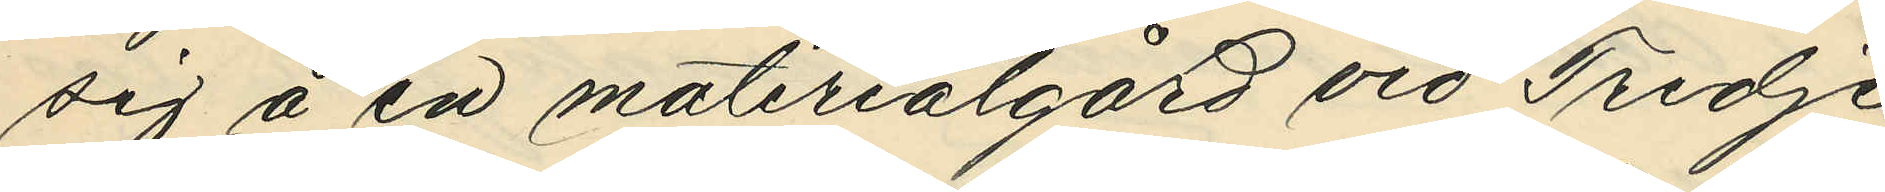sig å en materialgård vid Tredje
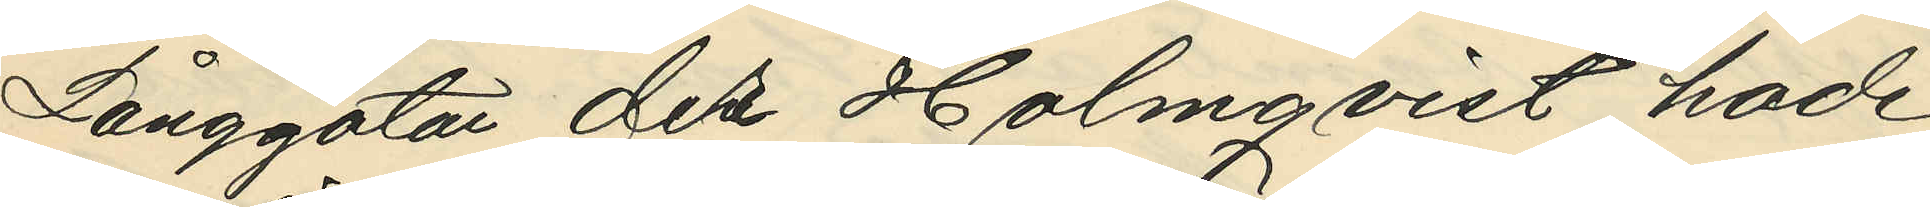Långgatan der Holmqvist hade
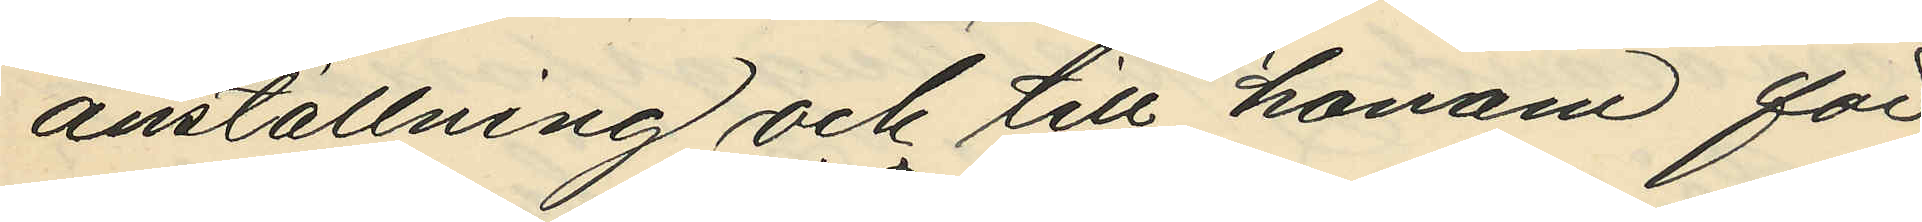anställning och till honom för
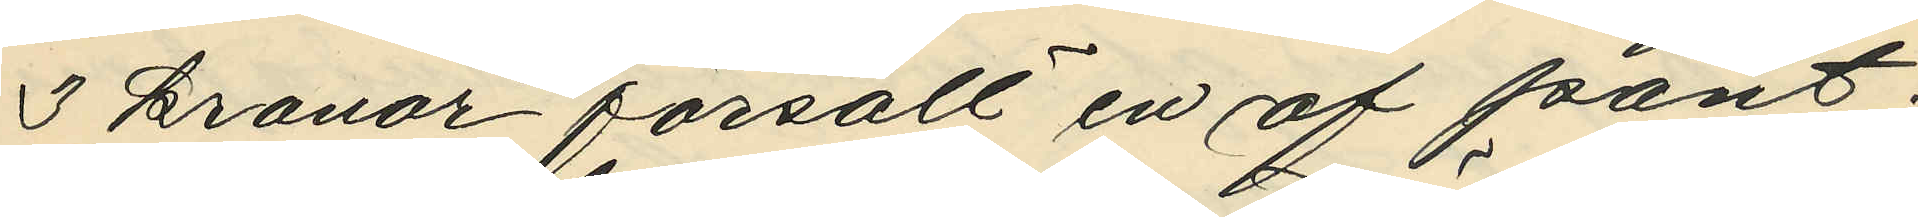3 kronor försålt en af pant¬
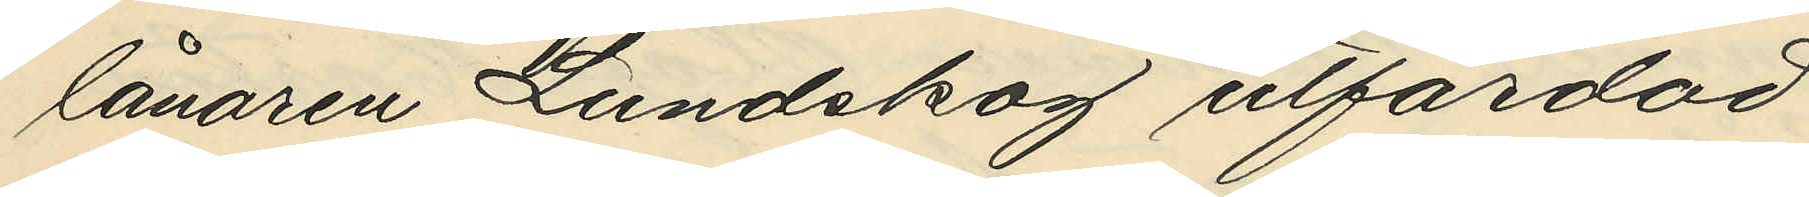lånaren Lundskog utfärdad
